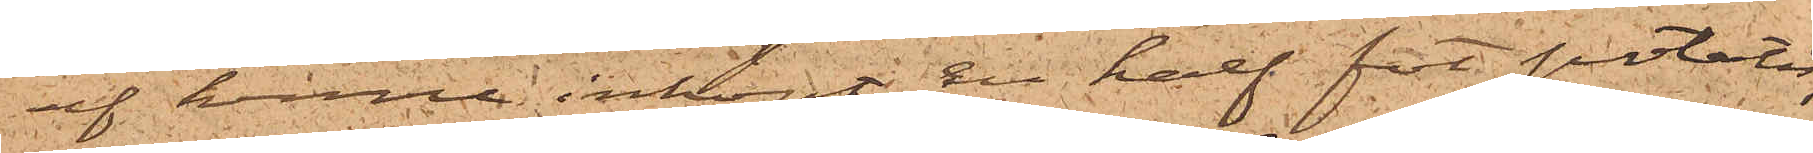af henne inköpt en half fot potatis,
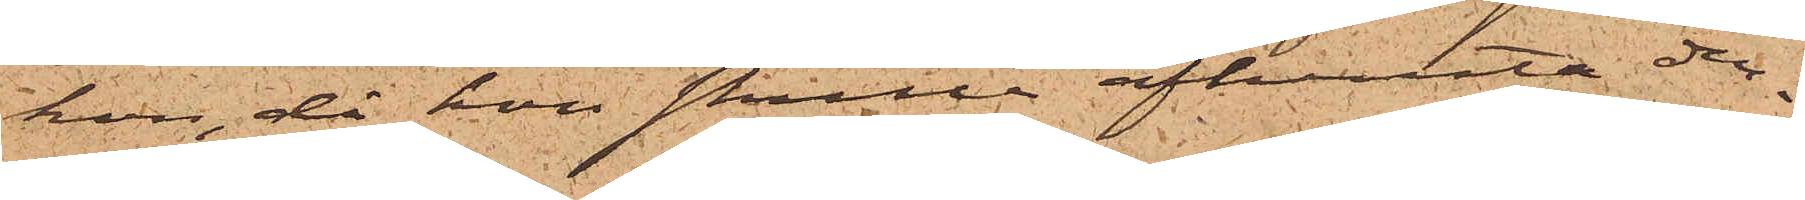hon, då hon skulle afhemta den¬
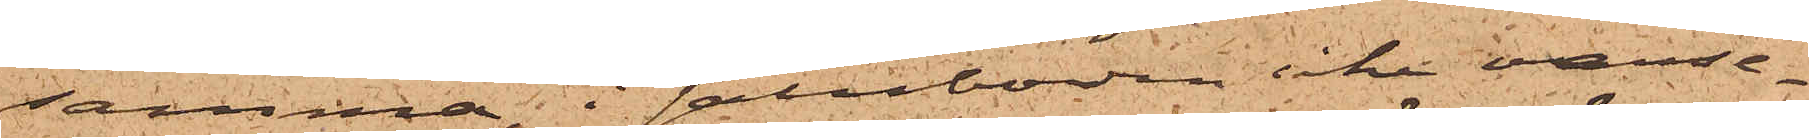samma, i saluboden icke varse¬
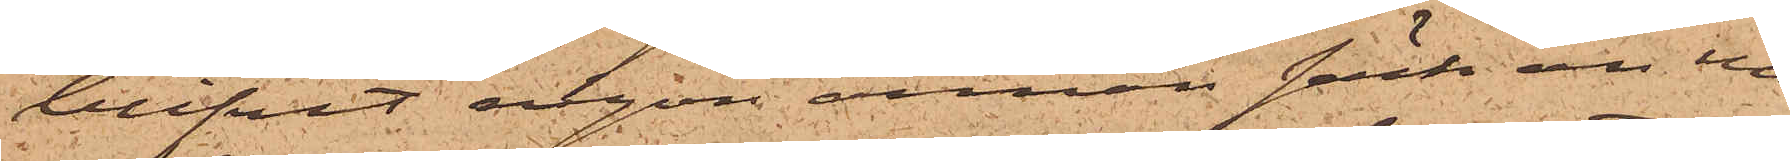blifvit någon annan säck än den
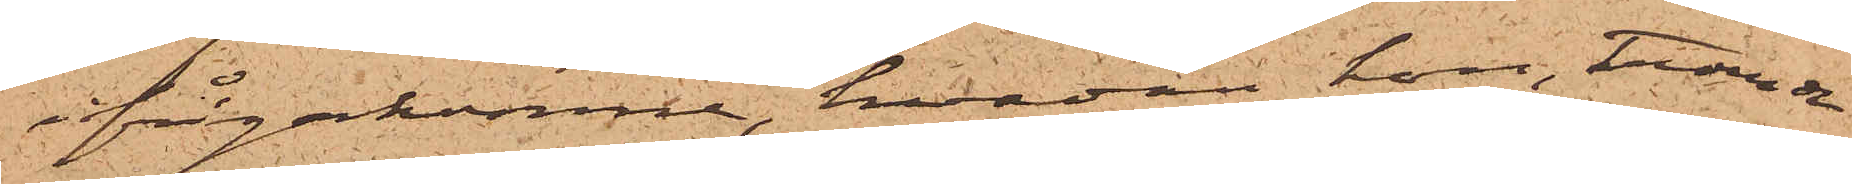ifrågakomne, hvadan hon, troende
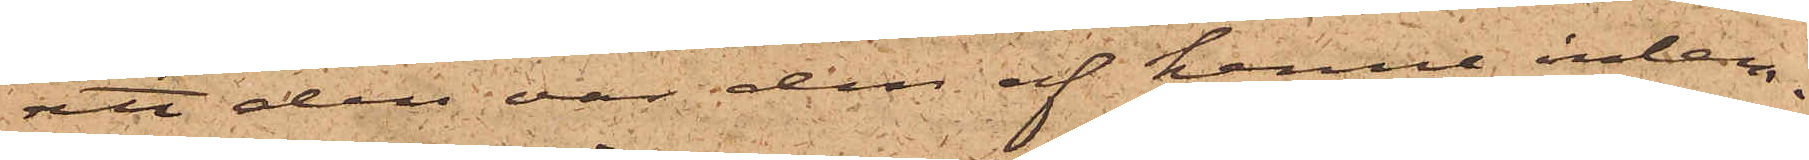att den var den af henne inlem¬
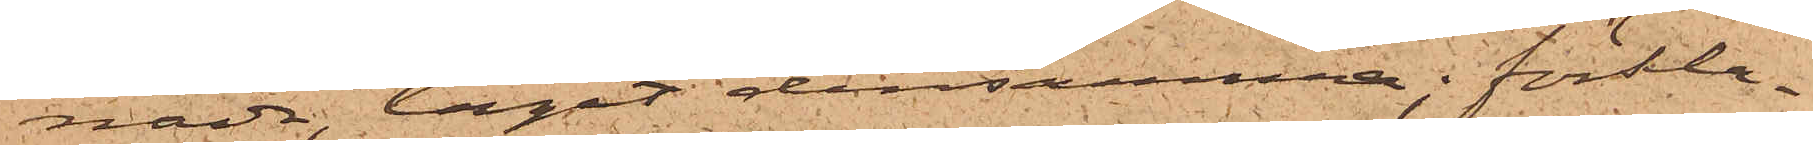nade, tagit densamma; förkla¬
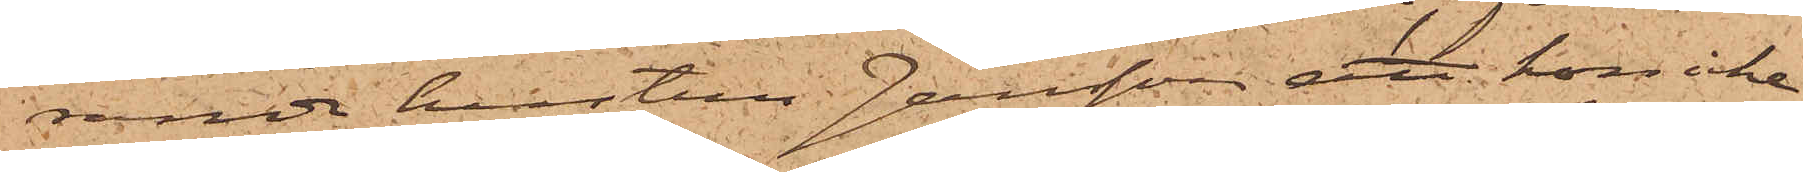rande hustrun Jansson, att hon icke
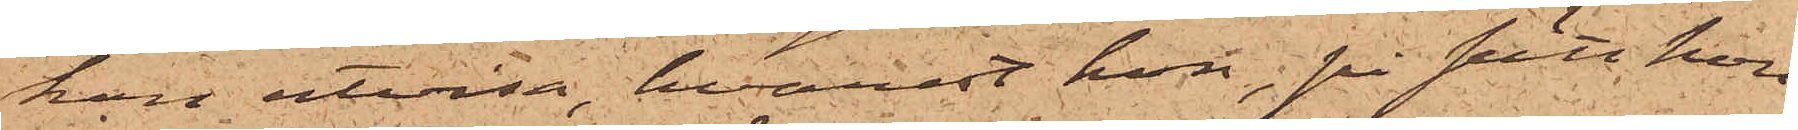kan utvisa, hvarest hon, på sätt hon
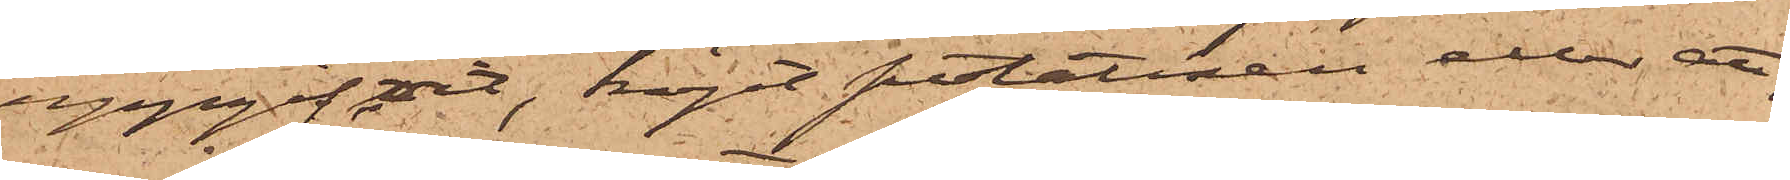uppgifvit, köpt potatisen eller att,
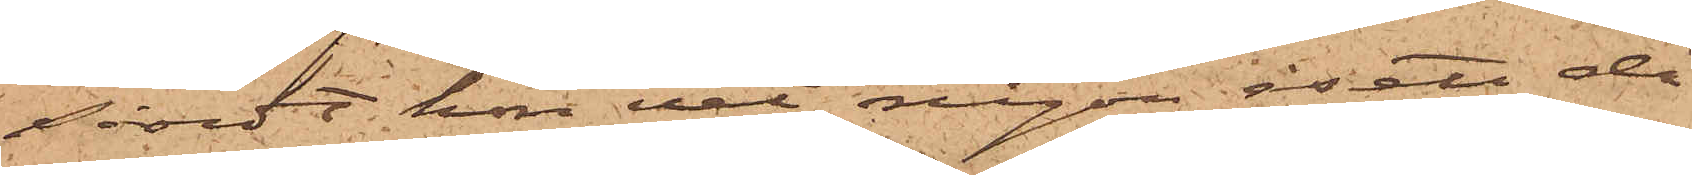såvidt hon vet, någon åsett då
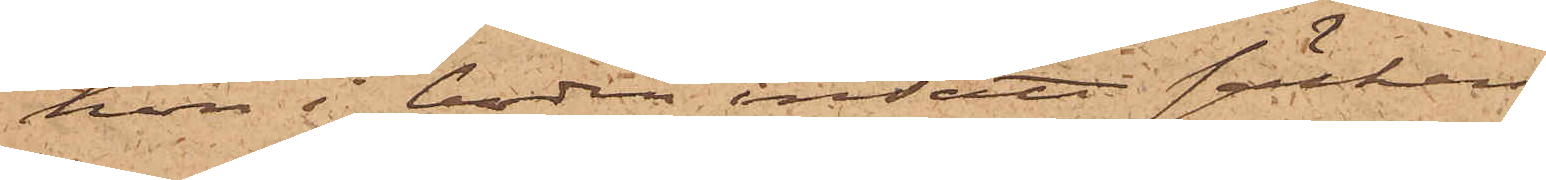hon i boden insatt säcken.
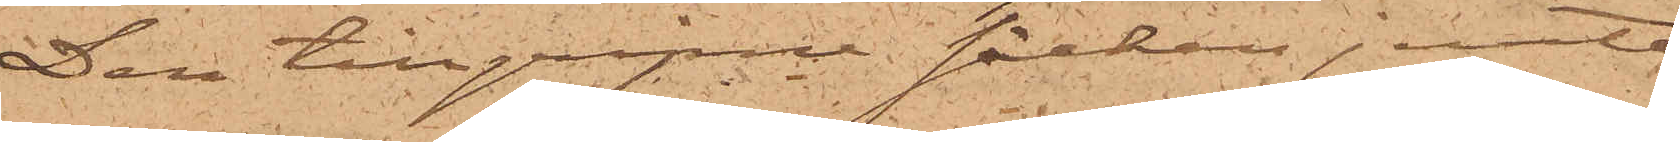Den tillgripne säcken jemte
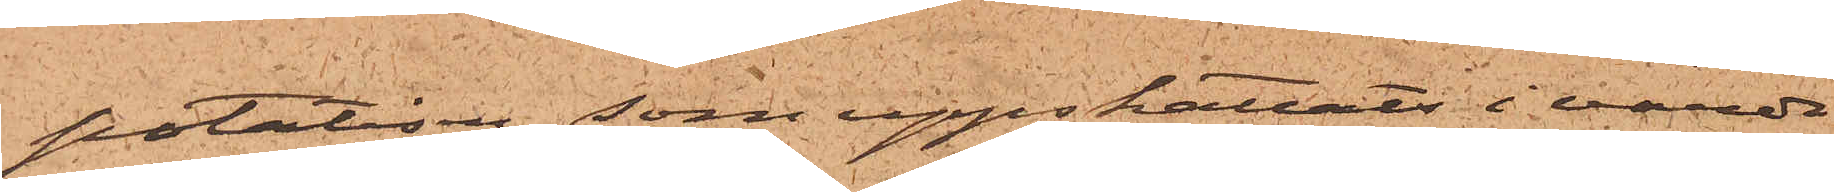potatisen, som uppskattats i värde
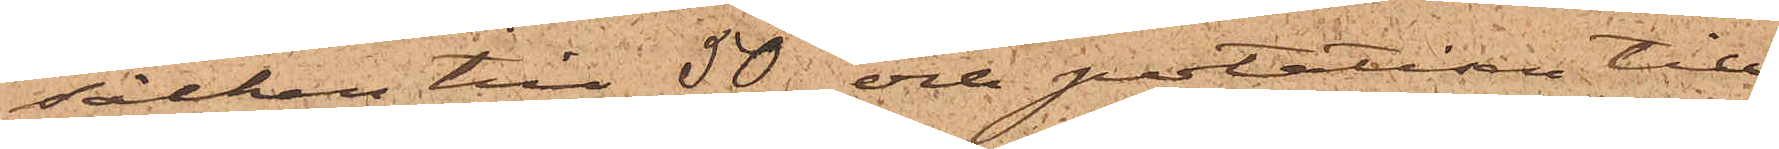säcken till 50 och potatisen till
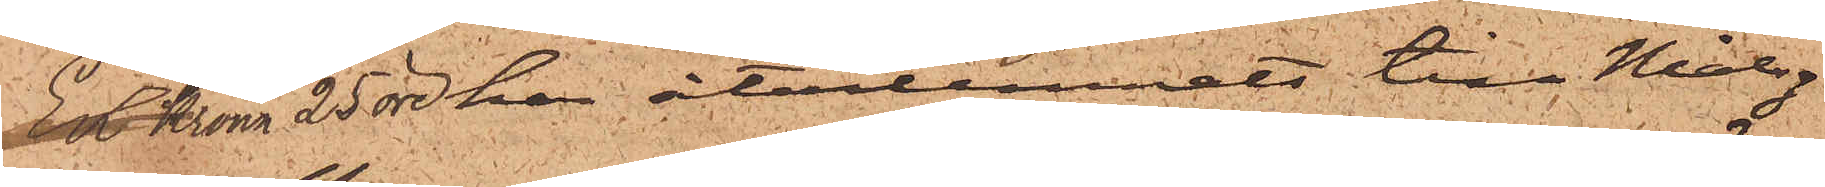En Krona 25 öre har återlemnats till Målseg.
